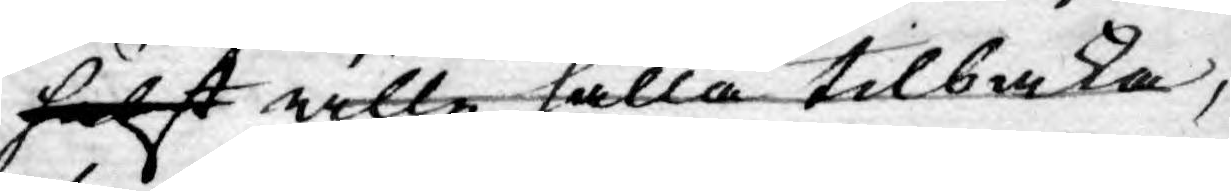hälst wille hålla tilbaka,
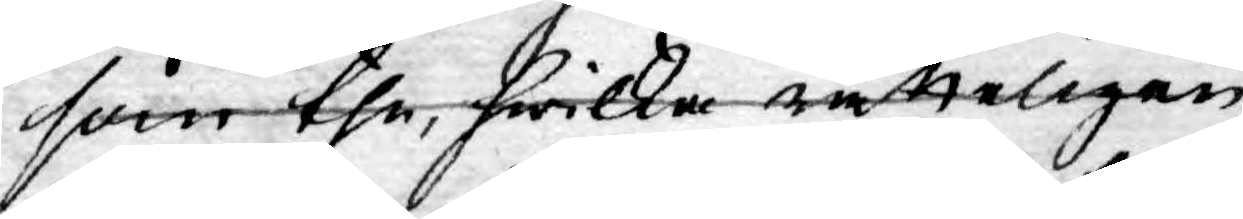som the, hwilka rätteligen
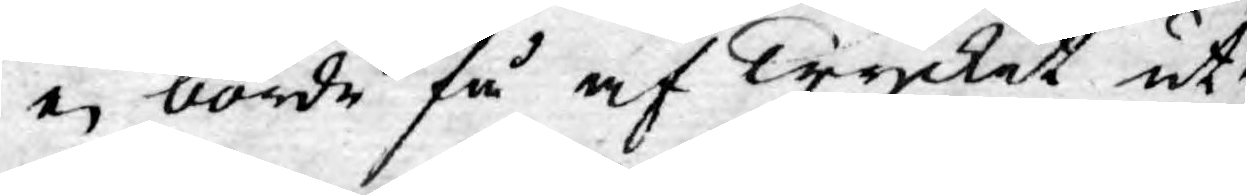ej borde få af Trycket ut¬
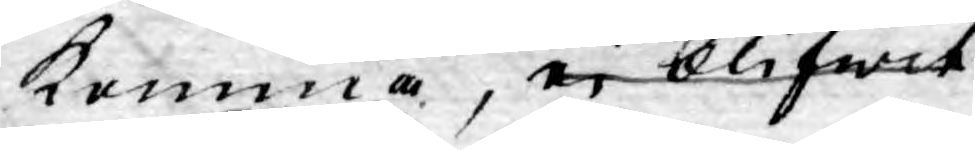komma, ei blifwit
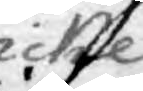icke
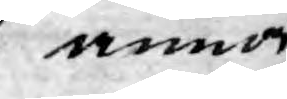annor¬
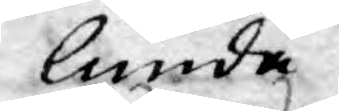lunda
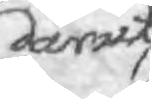däruti
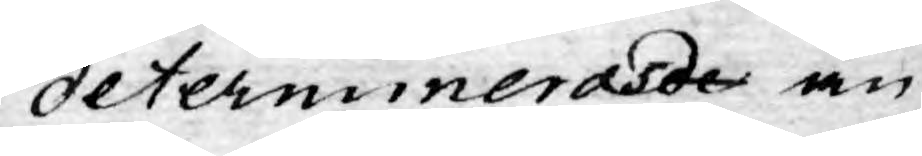determinerasder än
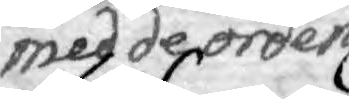med de orden
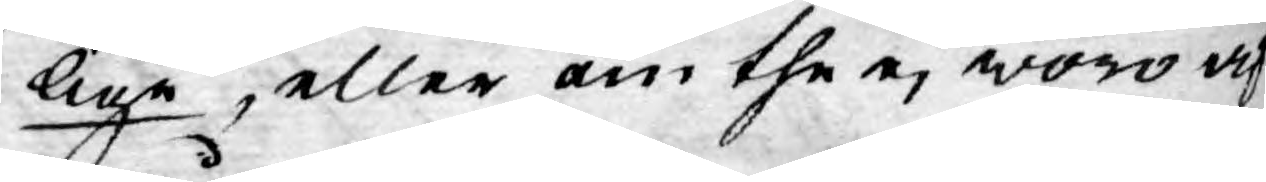lige, eller om the ej woro af
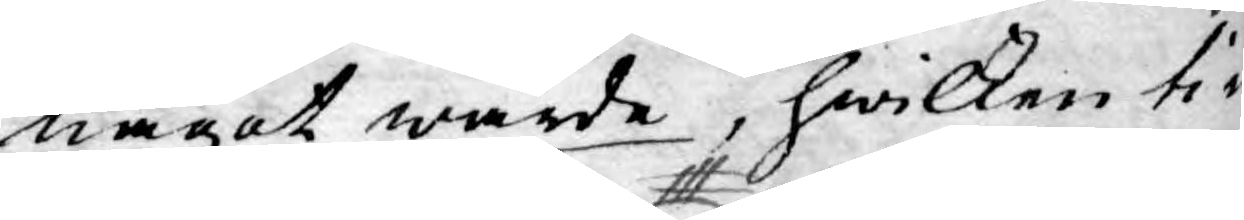något wärde, hwilken ti¬
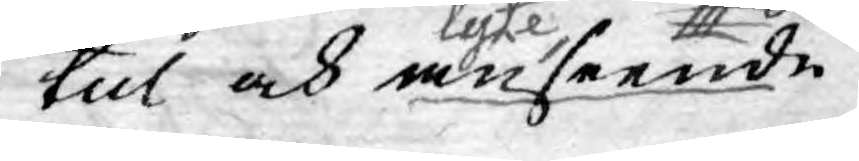tul och anseendelyte
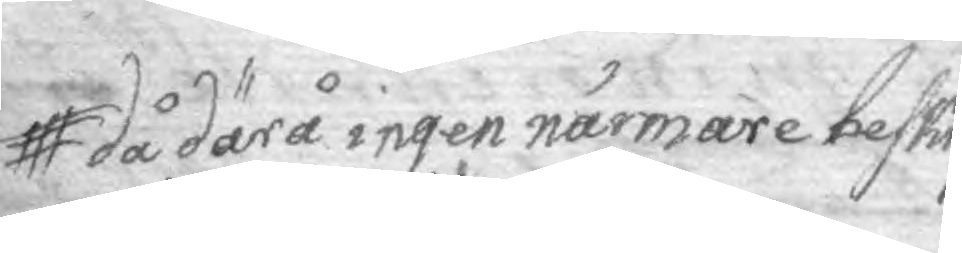då därå ingen närmare beskrif¬
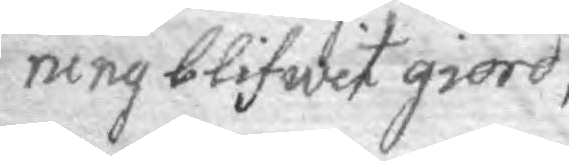ning blifwit giord,
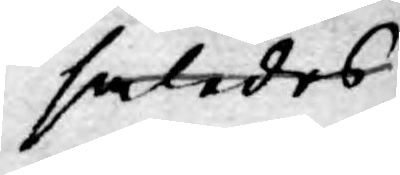således
